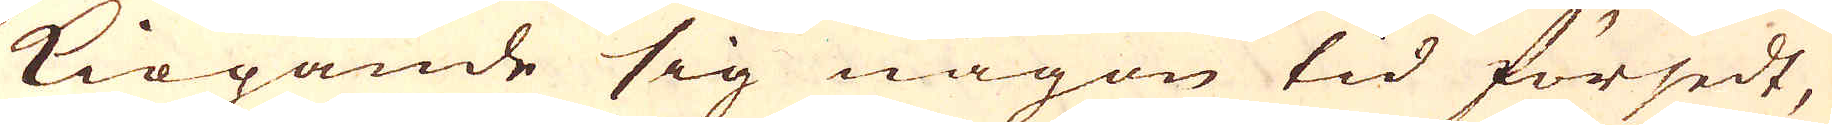kiöpande sig någon tid försedt,
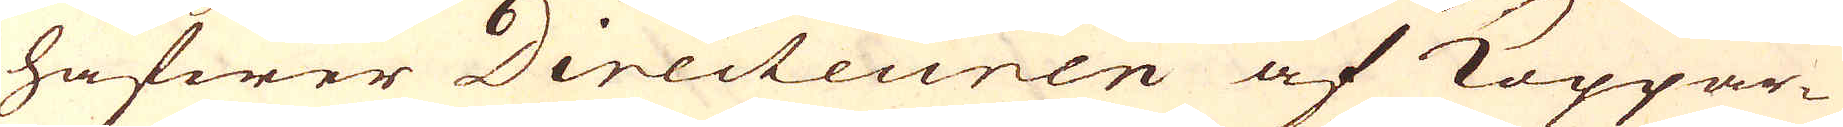hafwer Directeuren af Koppar-
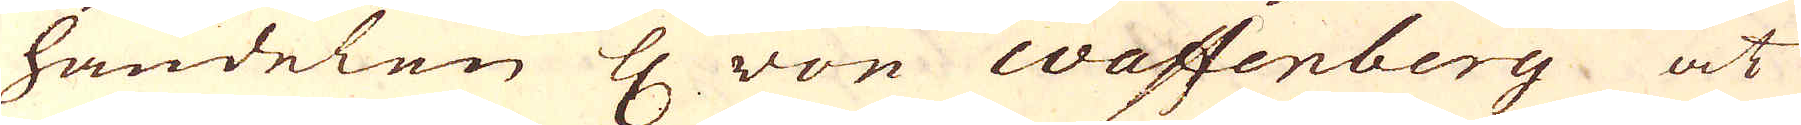handelen H von Wassenberg at
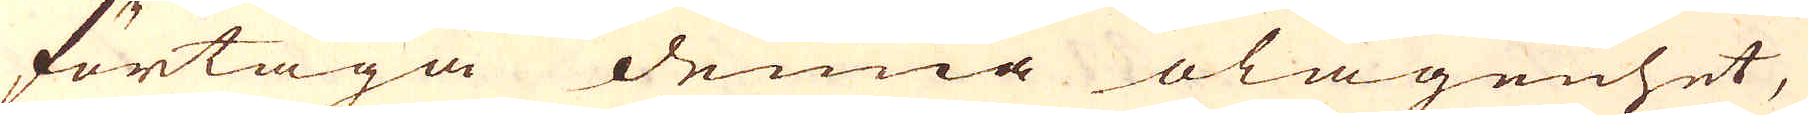förtaga denna olägenhet,
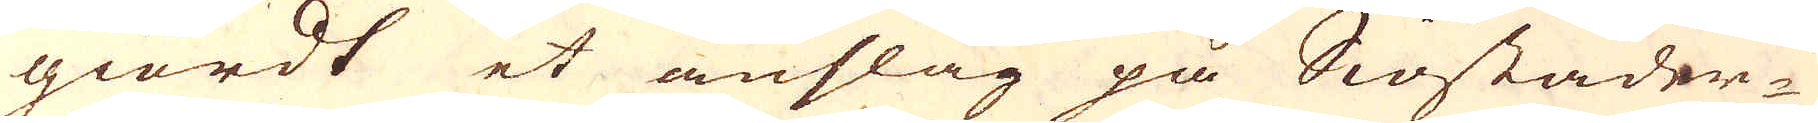giordt et anslag på Siöstäder-
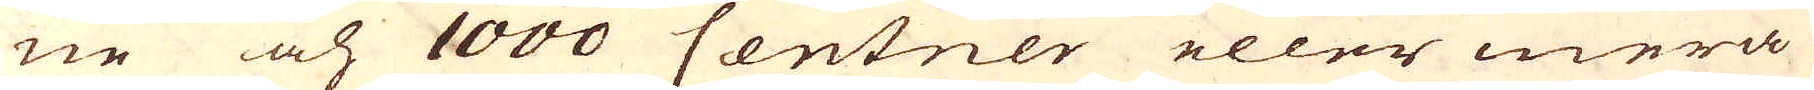ne och 1000 Centner eller mera
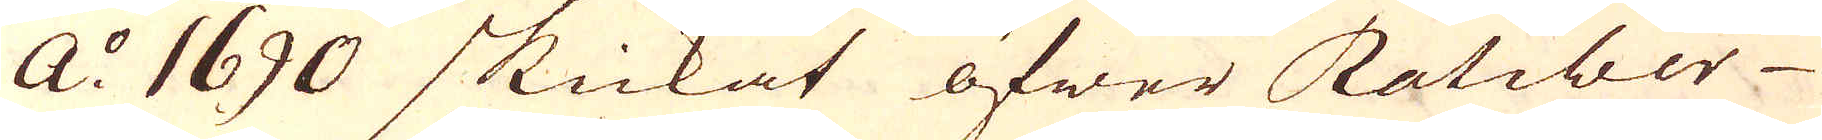A:o 1690 skickat öfwer Ratiber
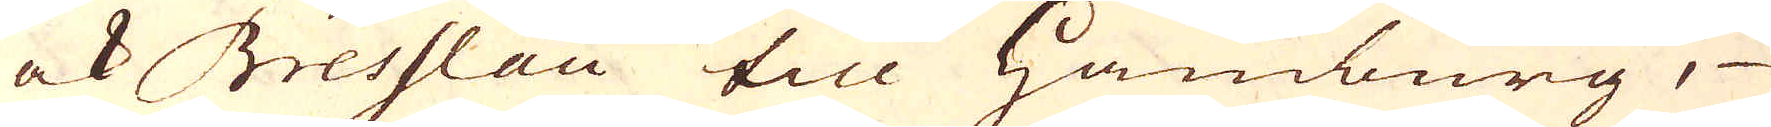ock Bresslau till Hamburg,
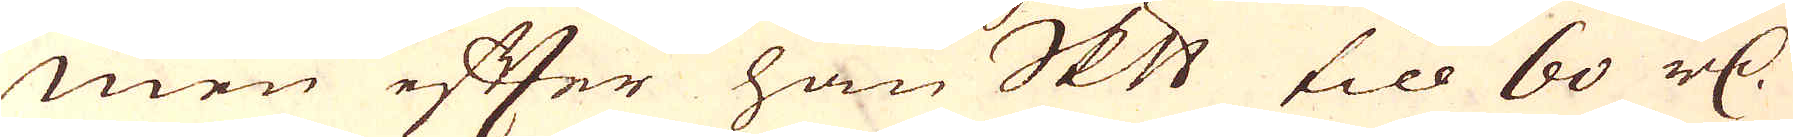men efter han Skeppund till 60 r:dr
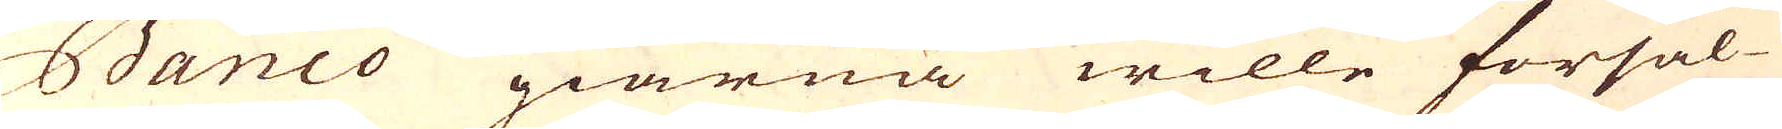Banco giärna wille försäl-
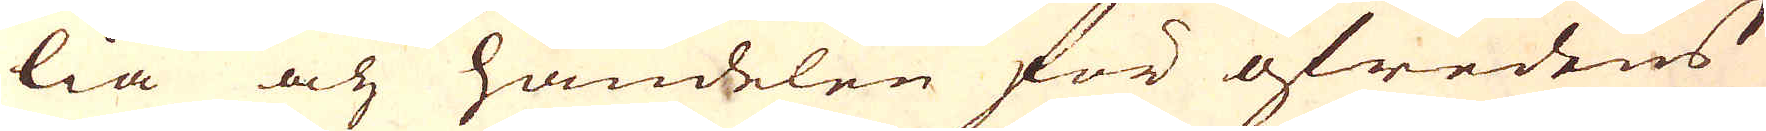lia och handelen för ofredens
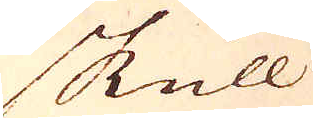skull
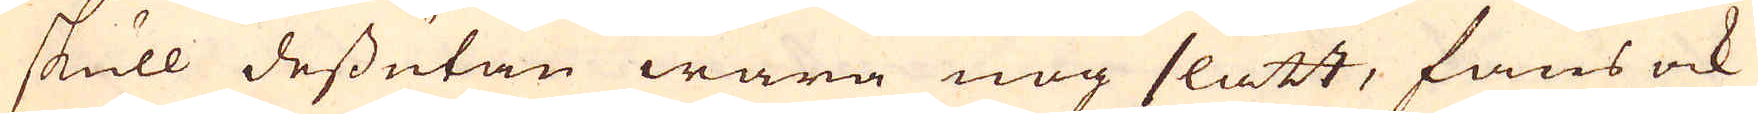skull dessutan wara nog slätt, fans ock
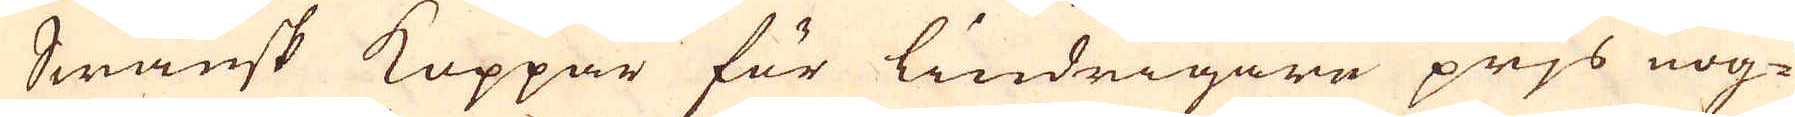Swänsk Koppar för lindrigare prjs nog-
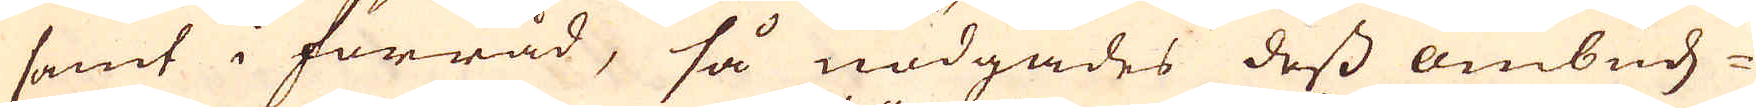samt i förråd, så nödgades dess ombuds-
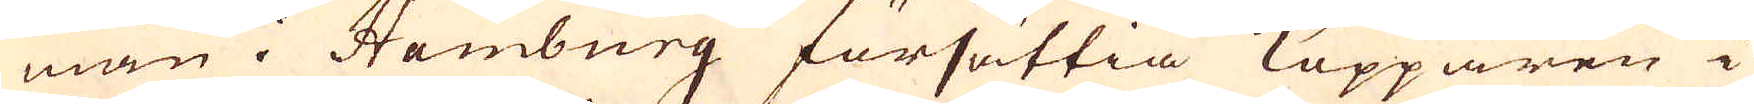man i Hamburg försättia Kopparen i
